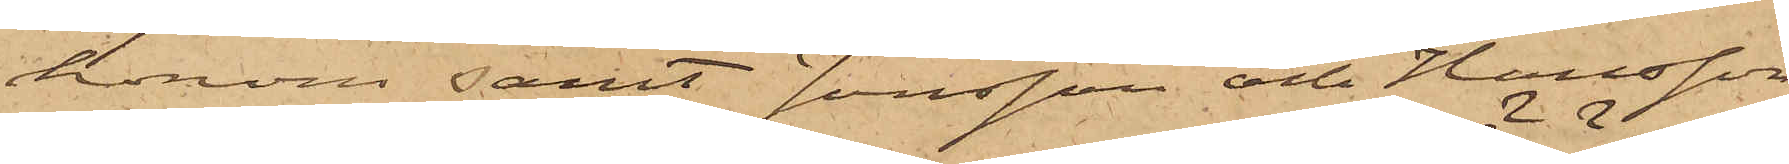honom samt Jonsson och Hansson
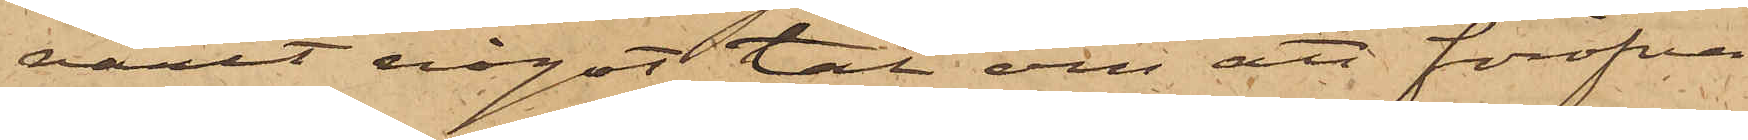varit något tal om att föröfva
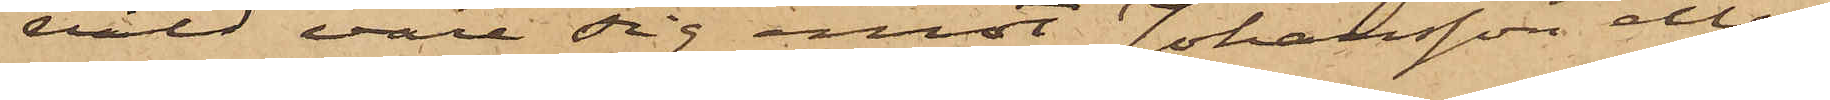våld vore sig emot Johansson eller
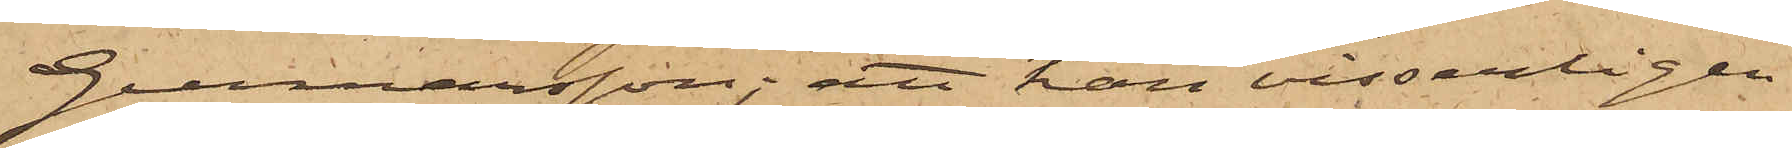Gunnarsson; att han visserligen
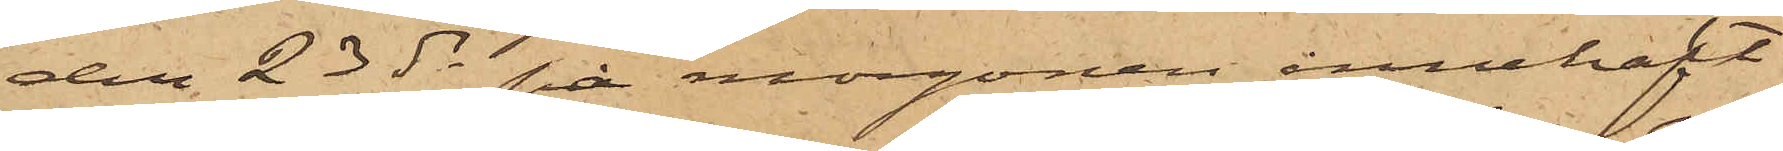den 23 ds på morgonen innehaft
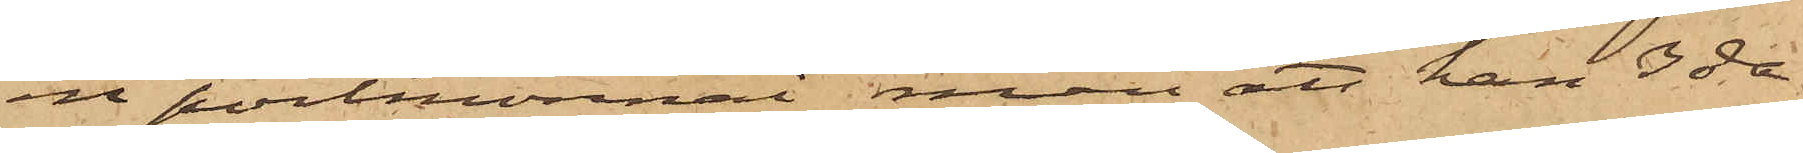en portmonnai men att han 3 da¬
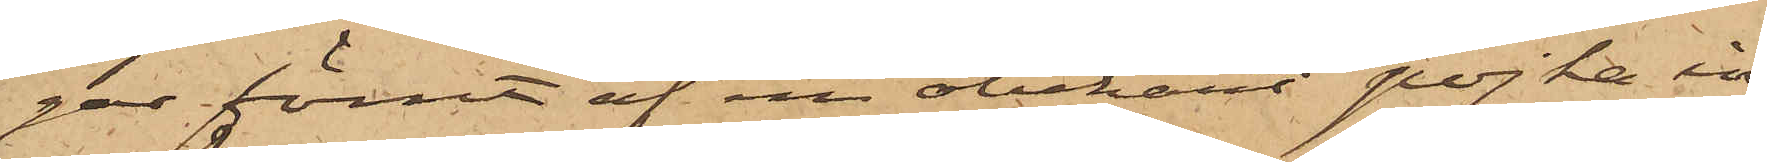gar förut af en obekant pojke in¬
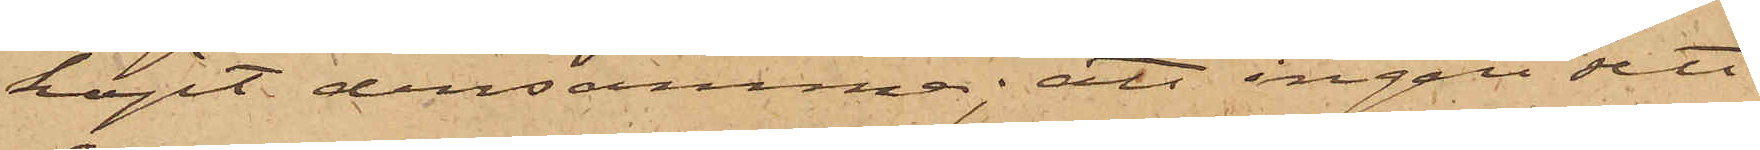köpt densamma; att ingen sett
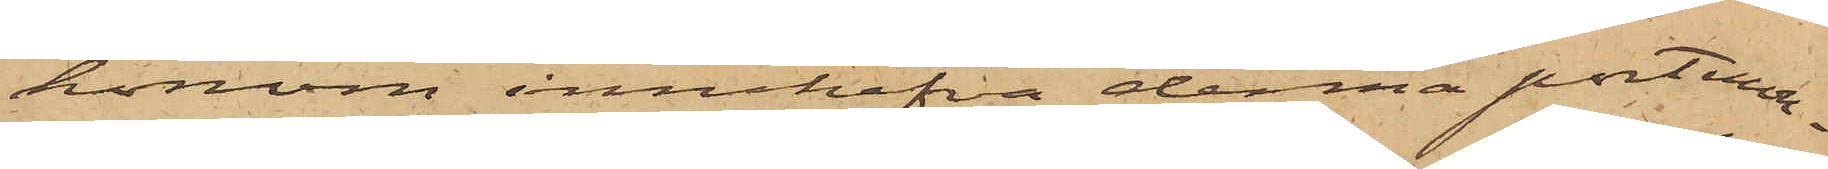honom innehafva denna portmon¬
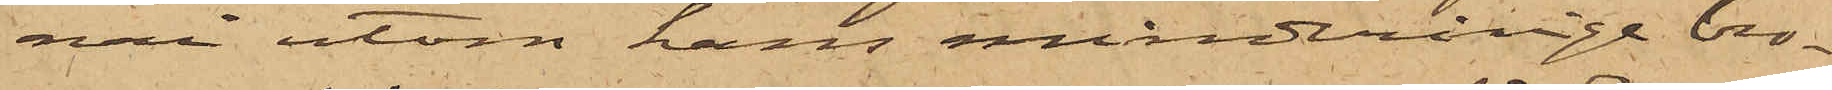nai utom hans minderårige bro¬
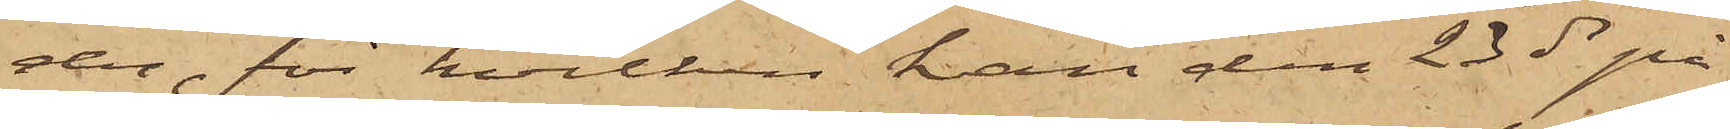der, för hvilken han den 23 ds på
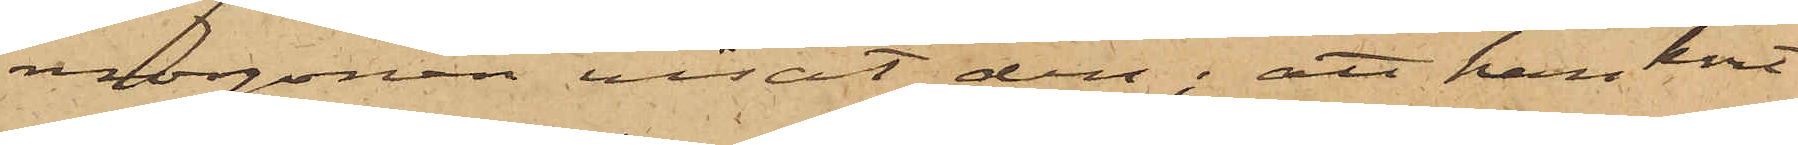morgonen visat den; att han kort
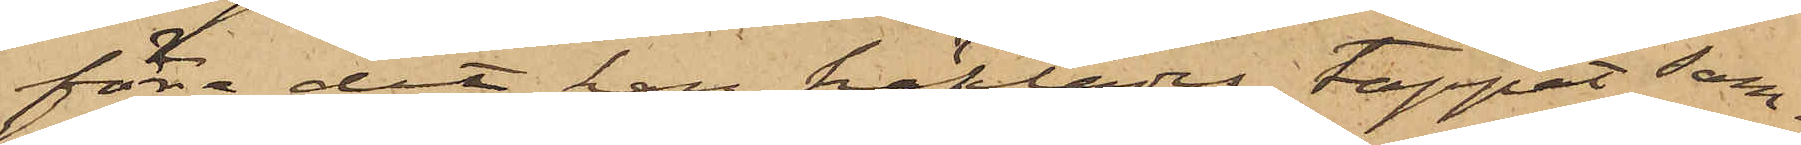före det han häktades, tappat sam¬
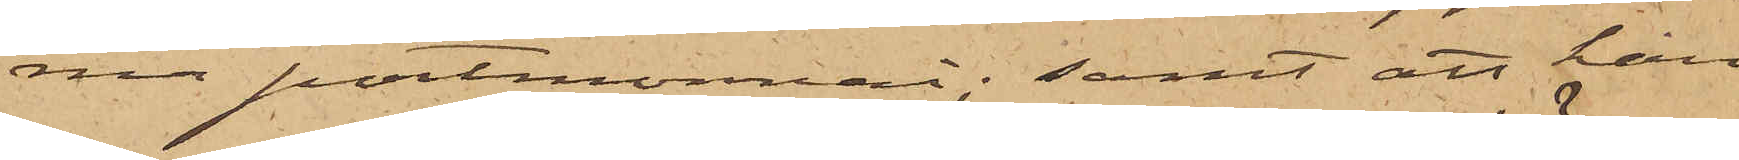ma portmonnai; samt att han
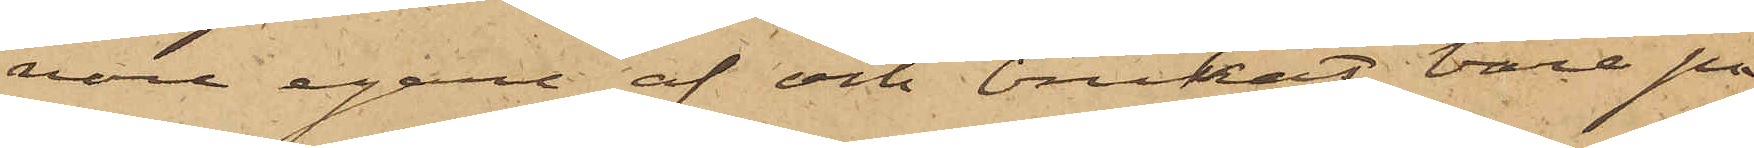vore egare af och brukat bära på
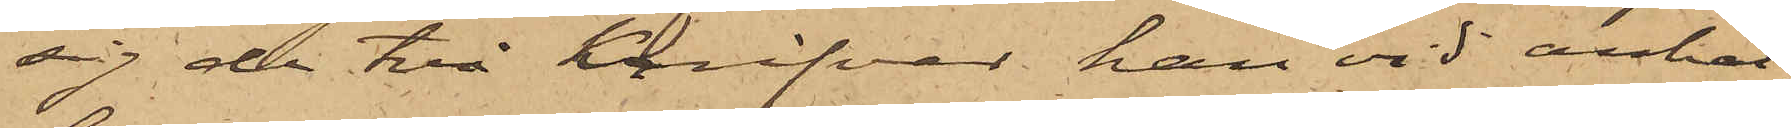sig de två knifvar han vid anhål¬
